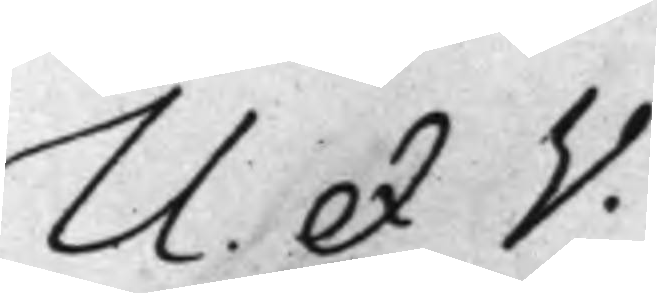U. et V.
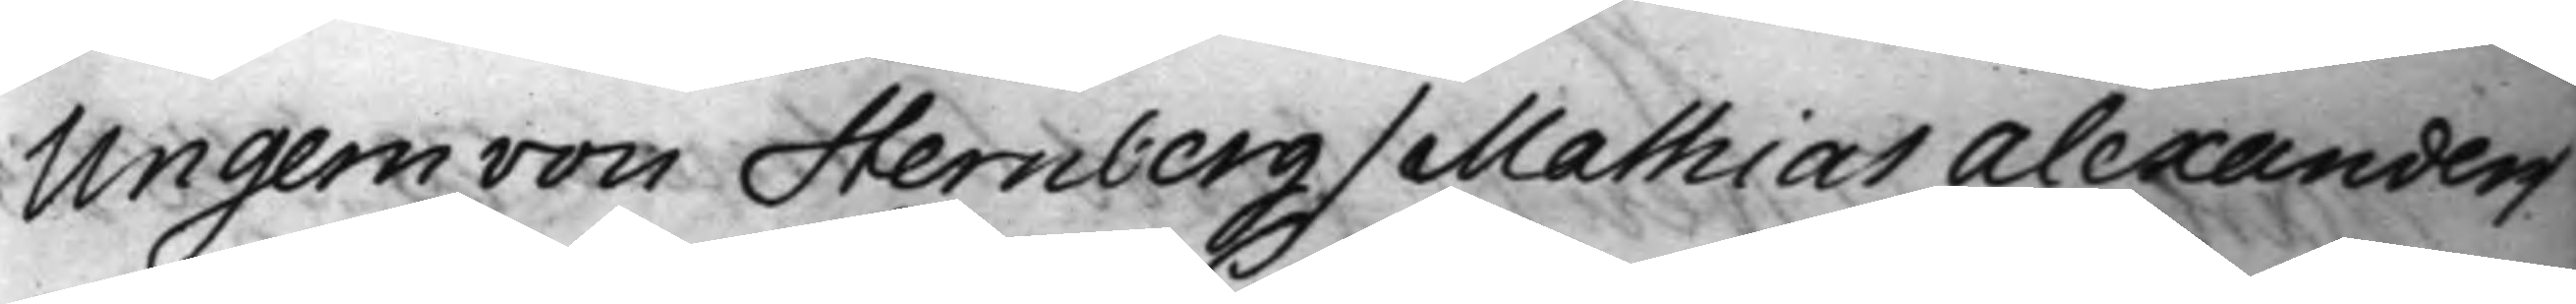Ungern von Sternberg / Mathias Alexander /
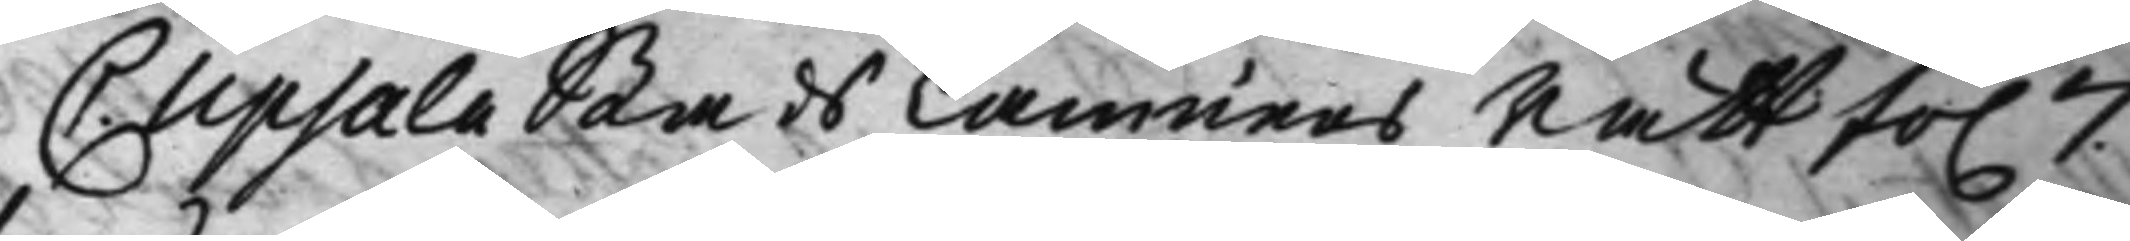C. Upsala Stads CämnersRätt fo. 7.
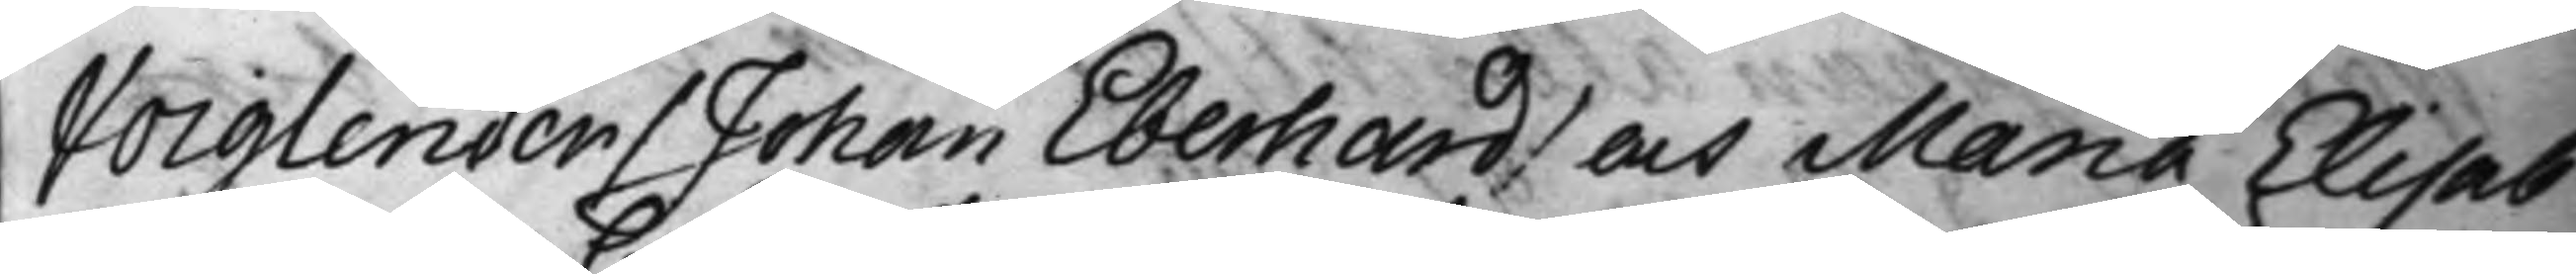Voiglender / Johan Eberhard / och Maria Elisab
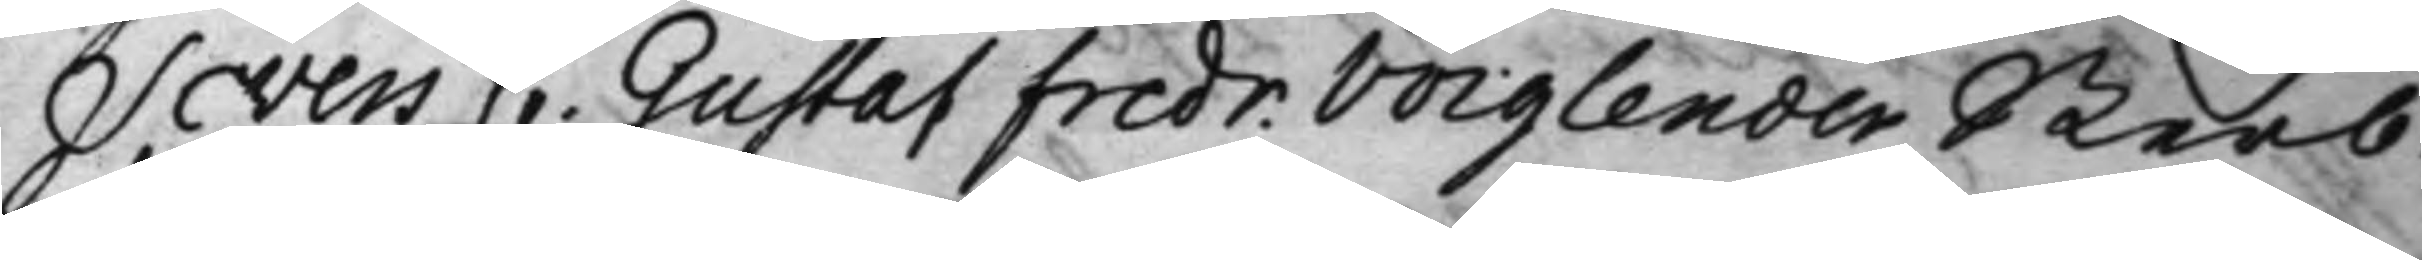Severs C. Gustaf Fredr. Voiglender Sterb¬
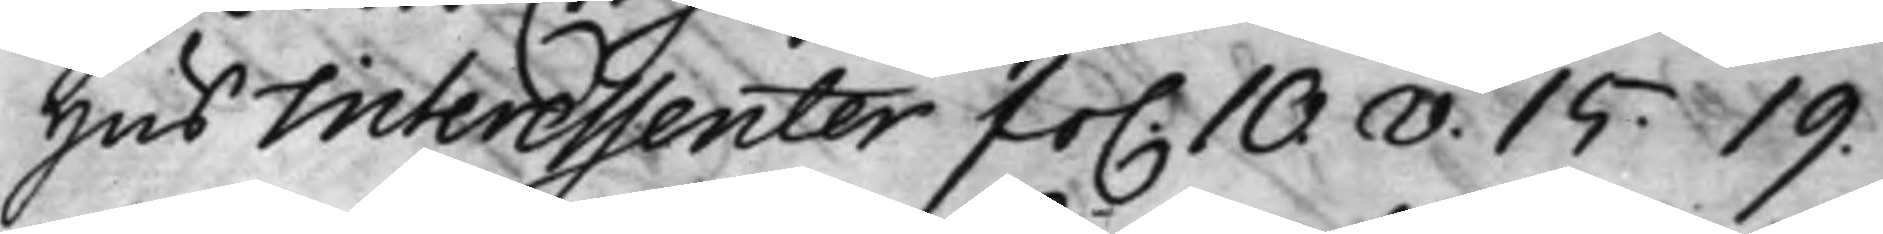Hus Interessenter fo. 10.v. 15. 19.
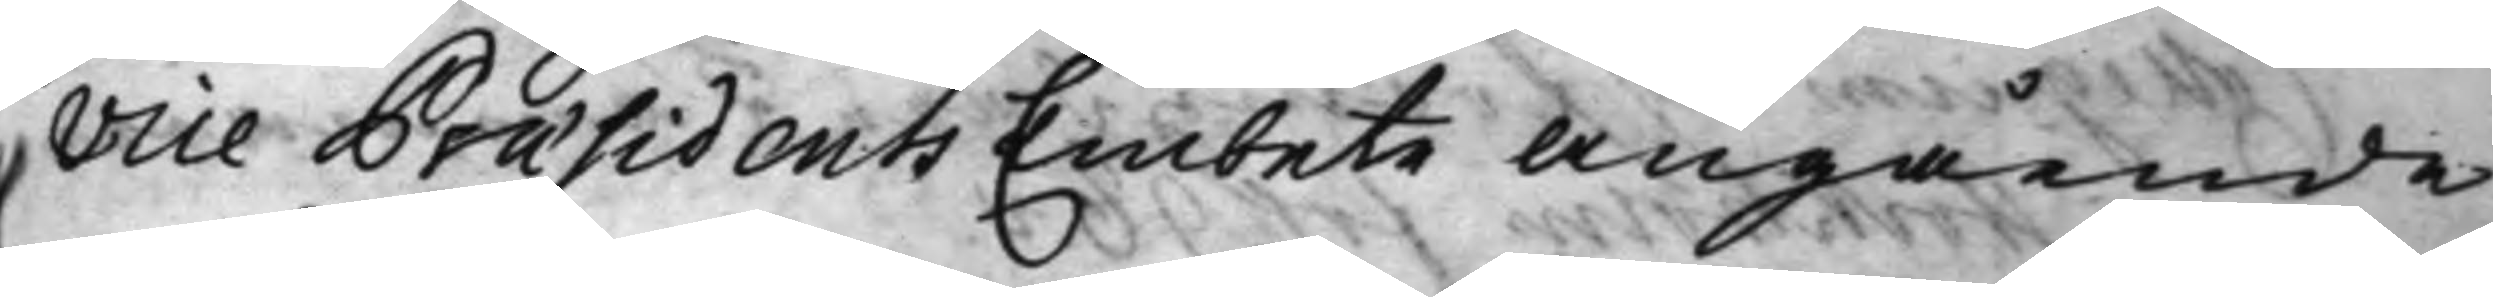Vice Præsidents Embete Angående
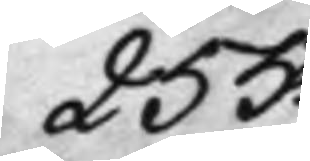255.
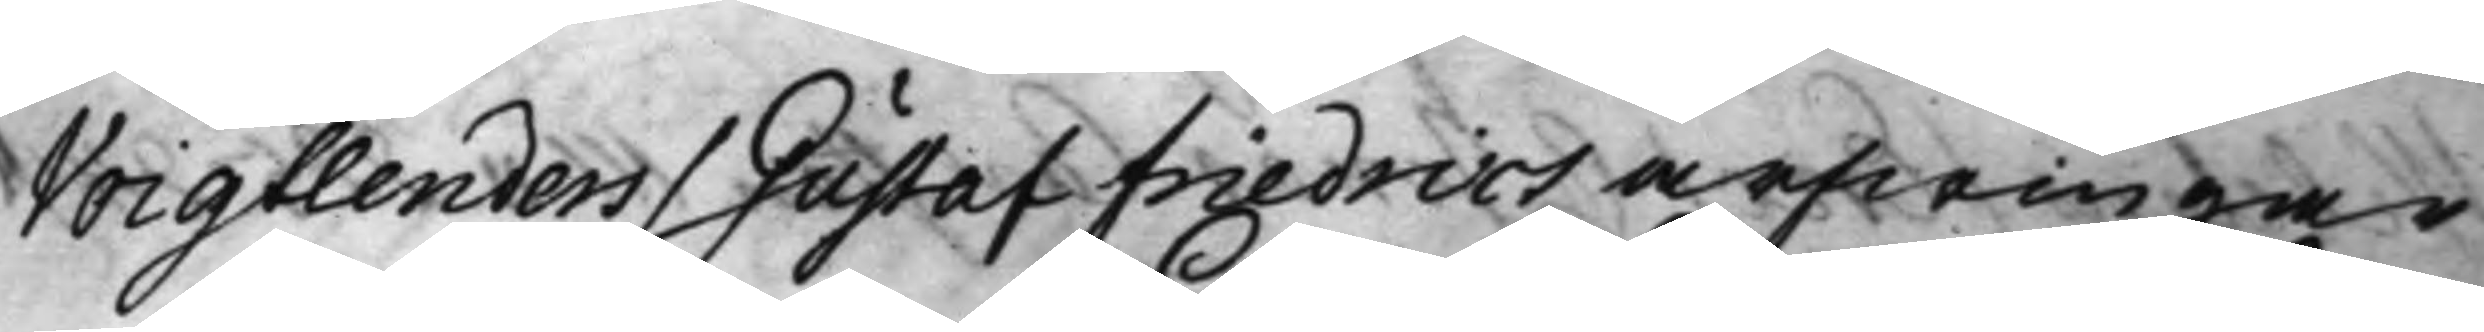Voigtlenders / Gustaf Friedrics arfwingar
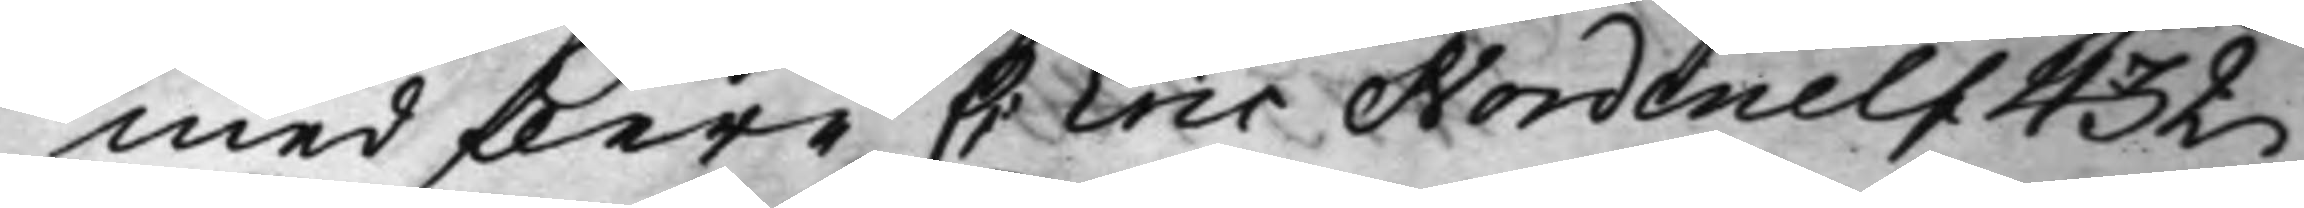med flere C Eric Nordenelf 432
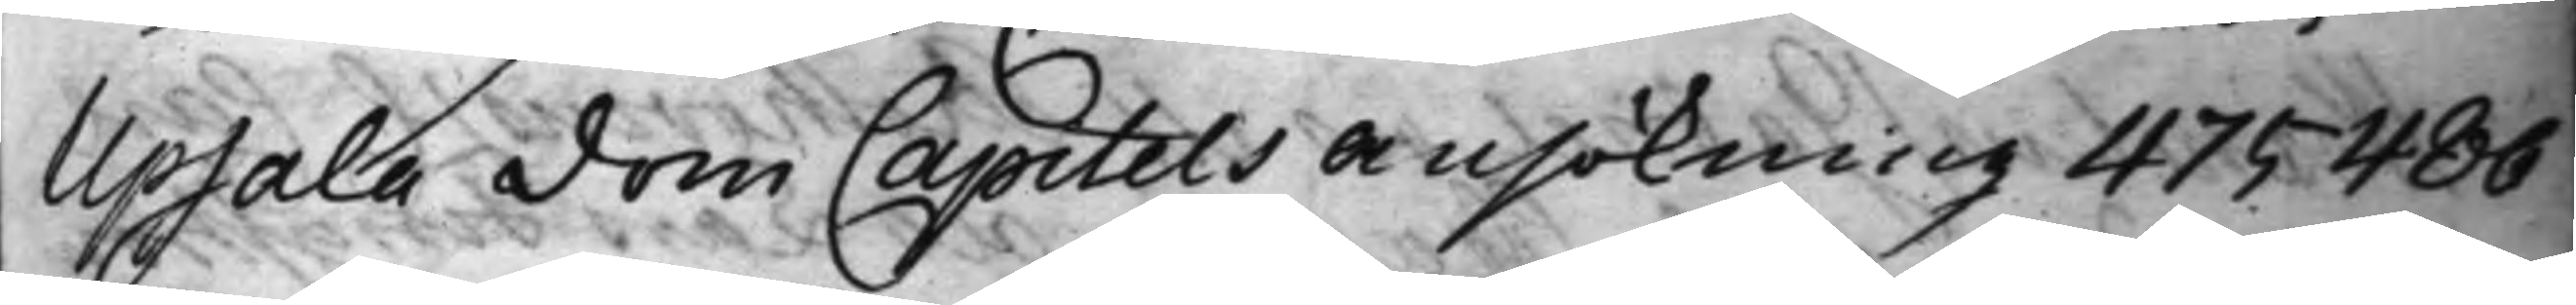Upsala Dom Capitels Ansökning 475 486
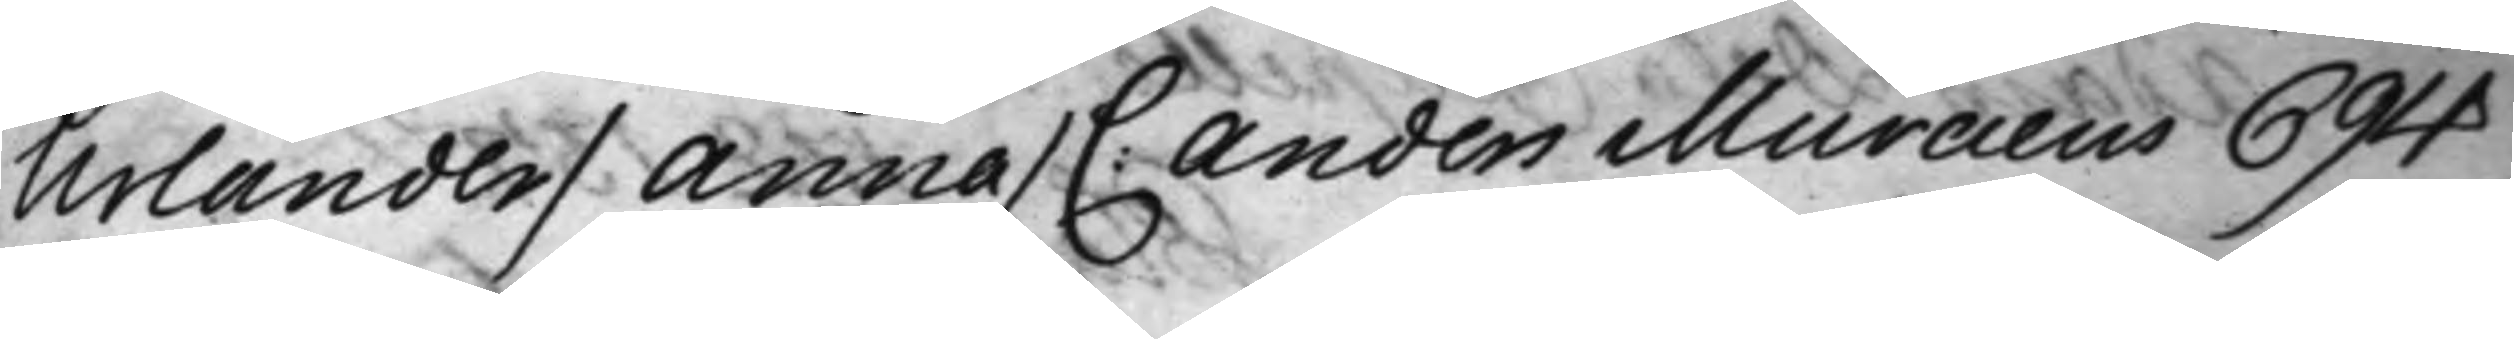Urlander / Anna / C: Anders Muraeus 694
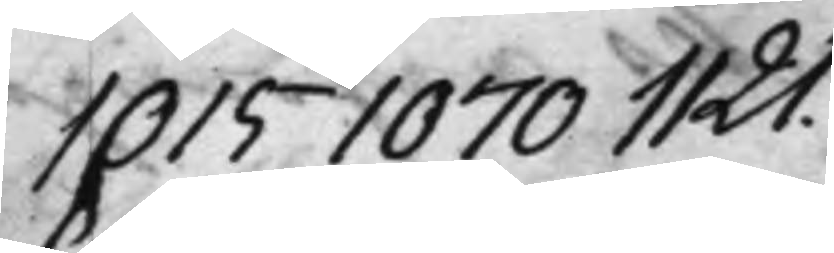1015 1070 1121.
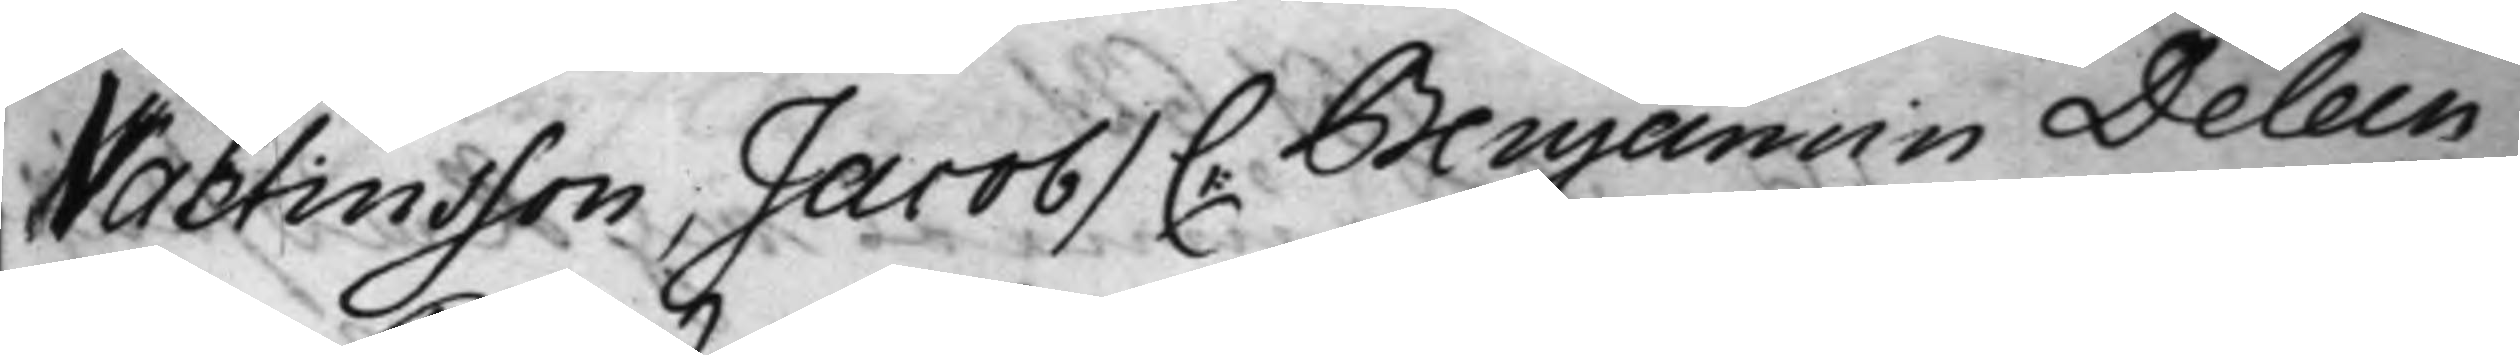Valtinsson, Jacob / C: Benjamin Deleen
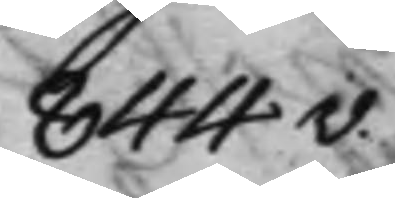844v.
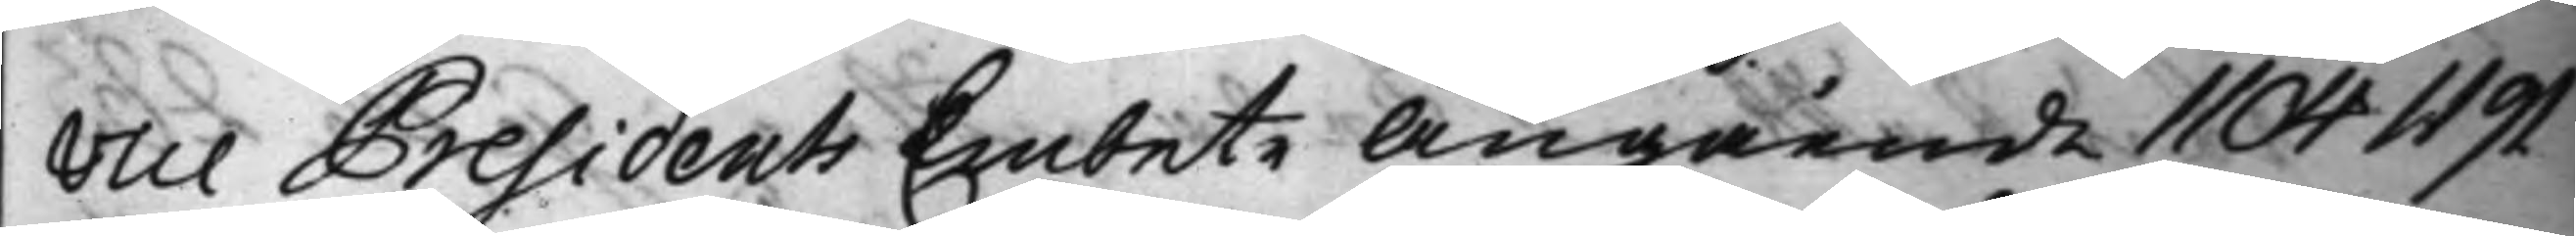Vice Presidents Embete Angående 1104 1191.
